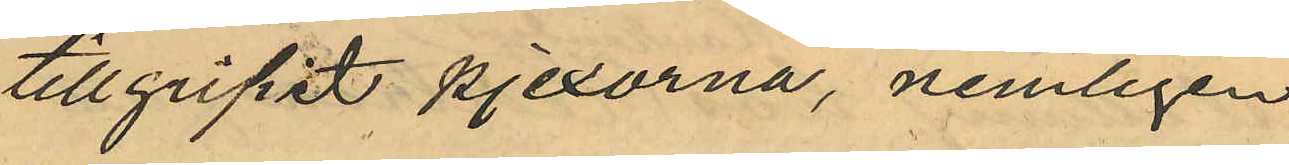tillgripit pjexorna nemligen
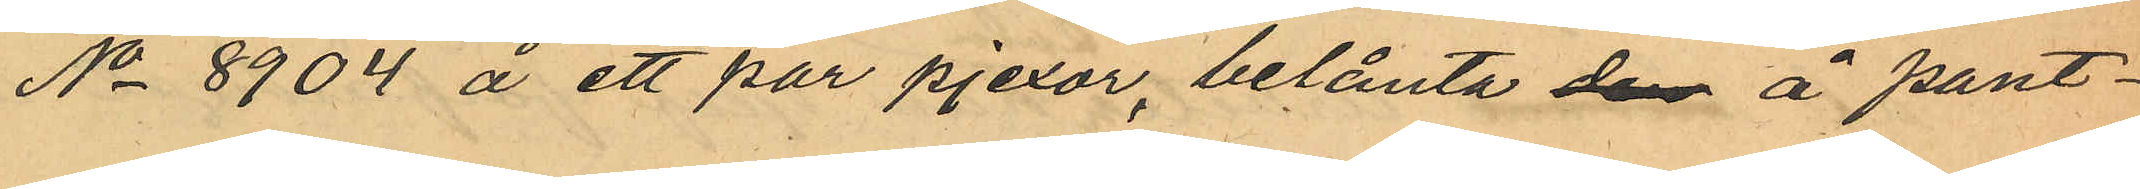No 8904 å ett par pjexor, belånte dem å pant¬
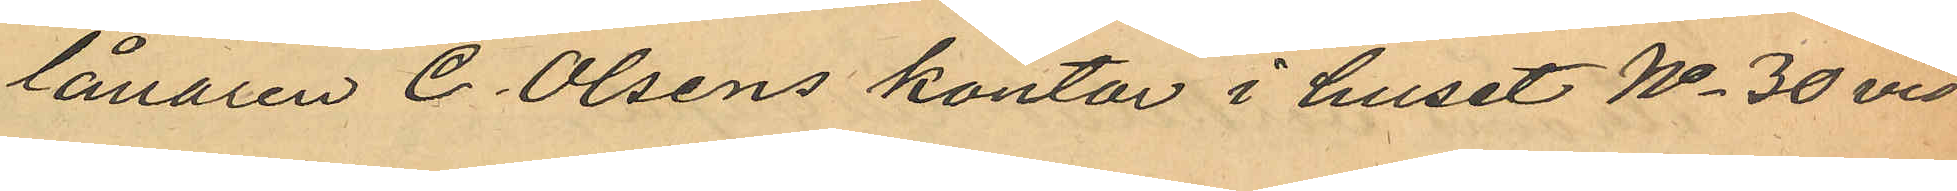lånaren C. Olsens kontor i huset No 30 vid
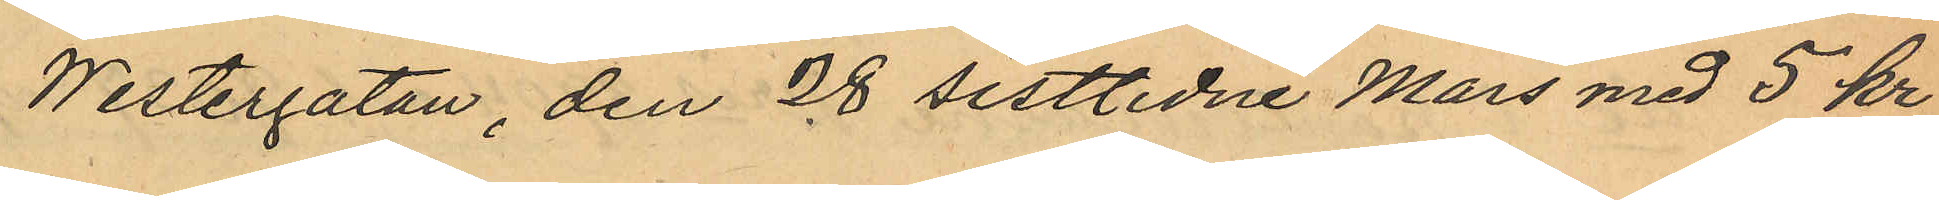Westergatan, den 28 sistlidne Mars med 5 kr.
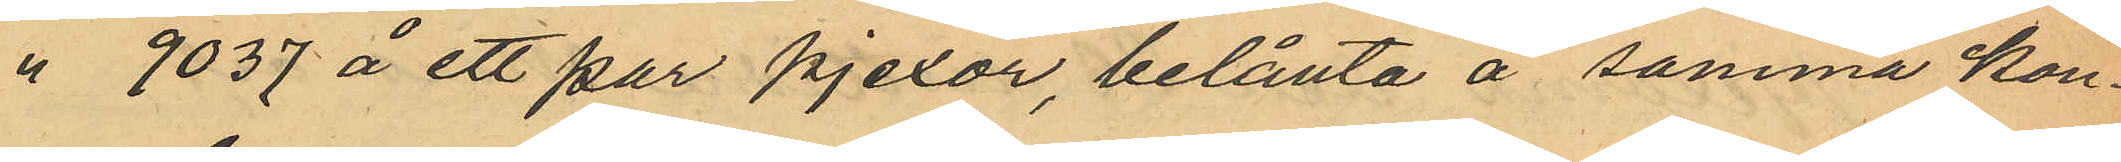" 9037 å ett par pjexor, belånta å samma kon¬
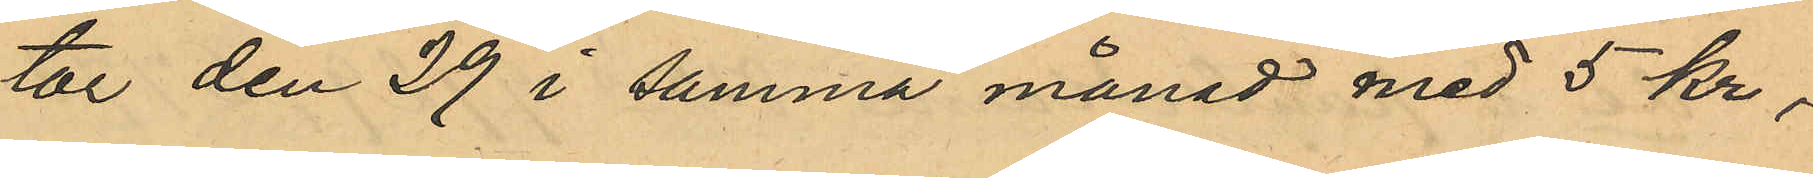tor den 29 i samma månad med 5 kr.,
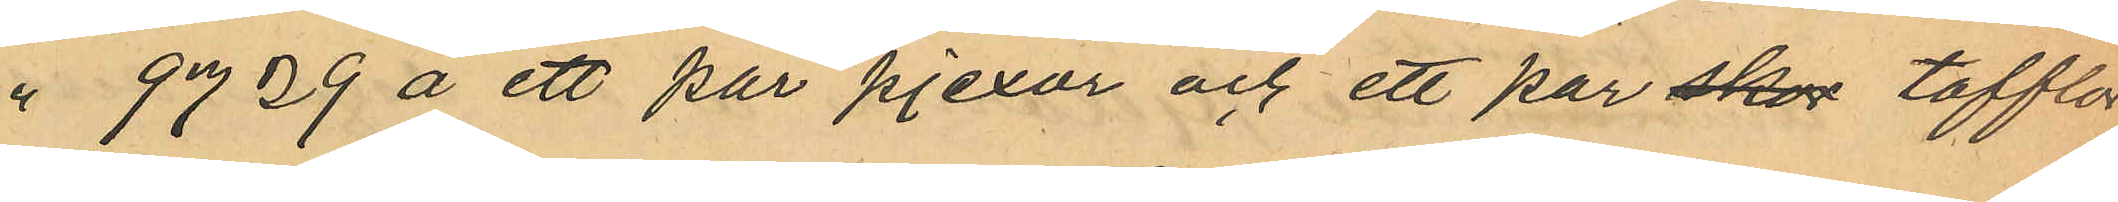" 9729 å ett par pjexor och ett par skor tofflor
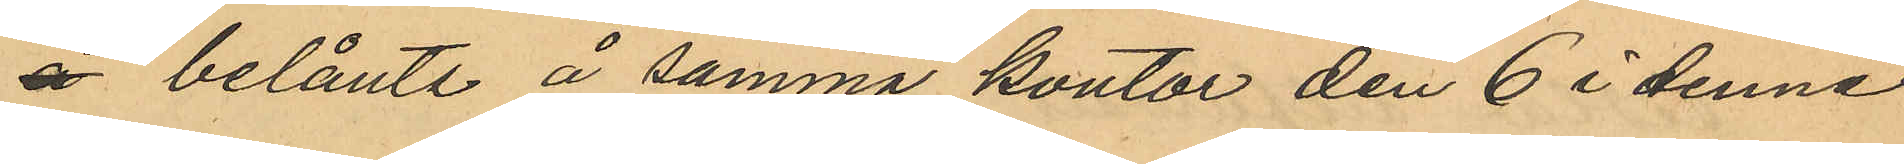å belånte å samma kontor den 6 i denne
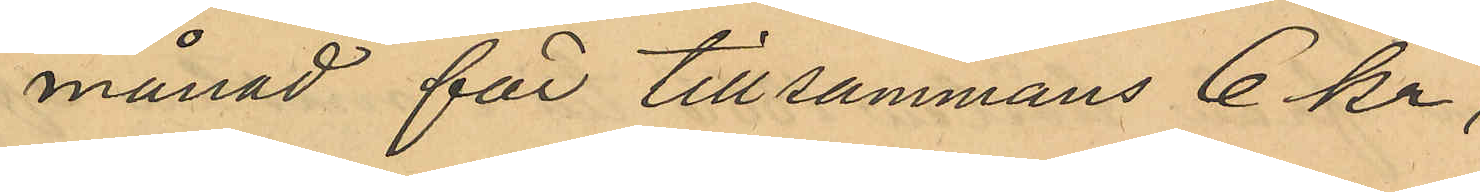månad för tillsammans 6 kr,
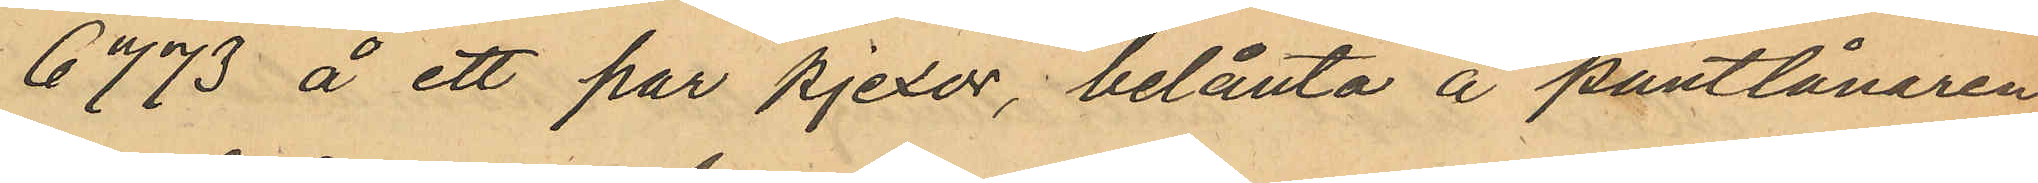" 6773 å ett par pjexor belånta å pantlånaren
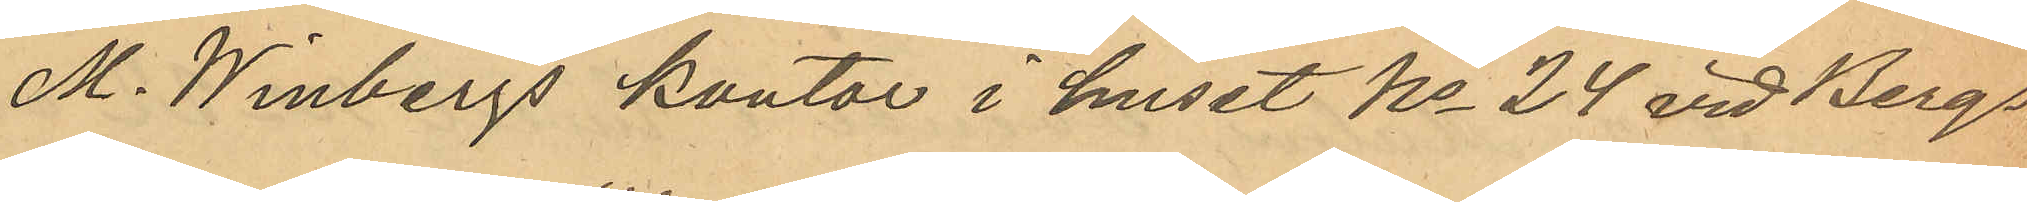M. Winbergs kontor i huset No 24 vid Bergs¬
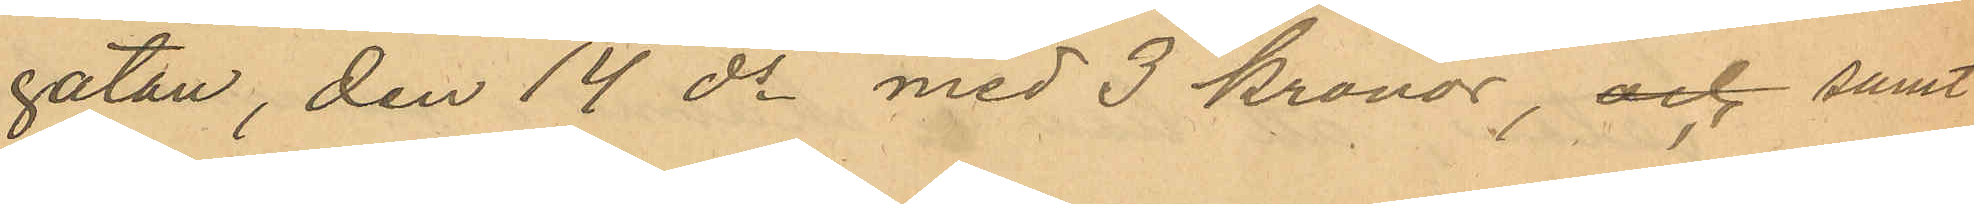gatan den 14 ds med 3 kronor, och samt
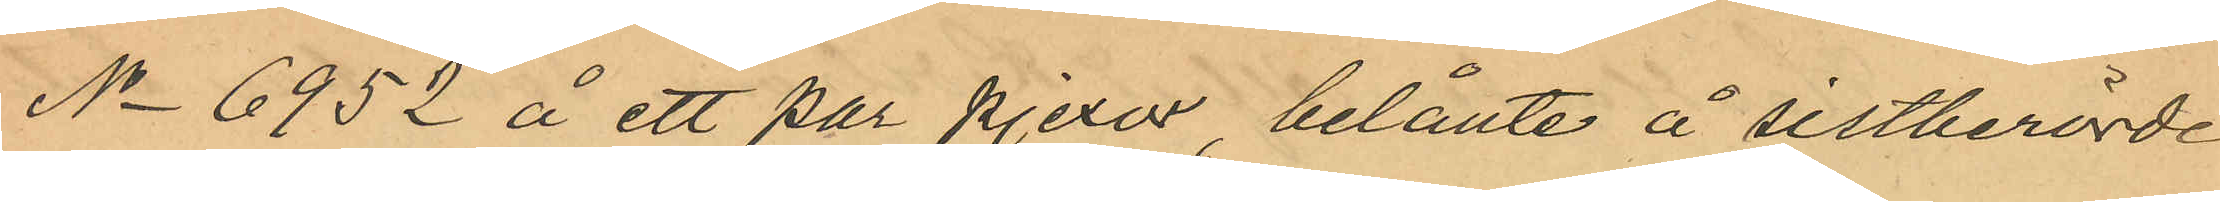No 6952 å ett par pjexor, belånte å sistberörde
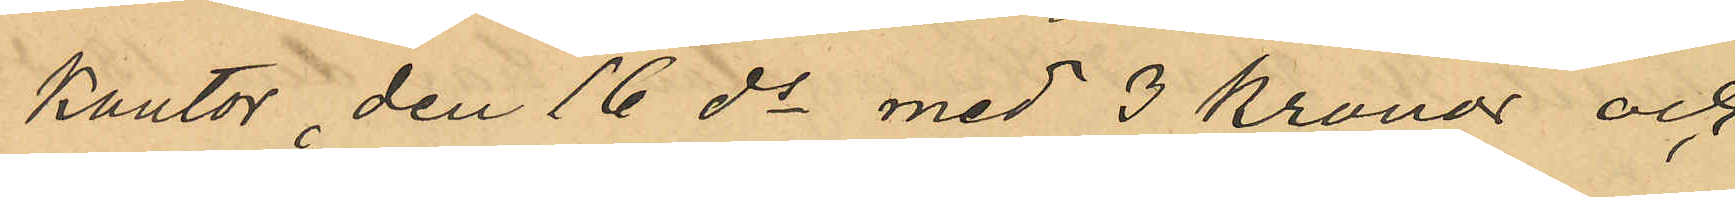kontor, den 16 ds med 3 Kronor och,
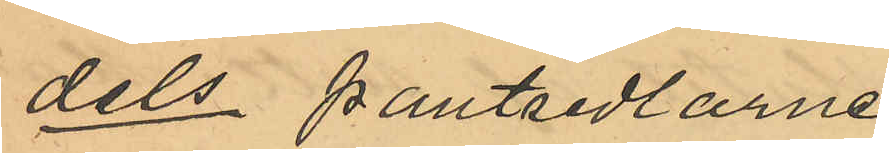dels pantsedlarne
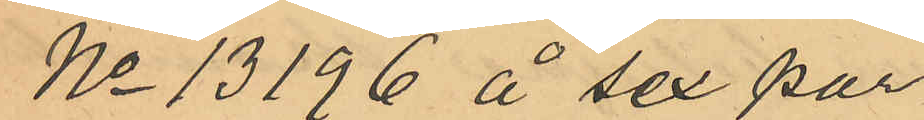No 13196 å sex par
